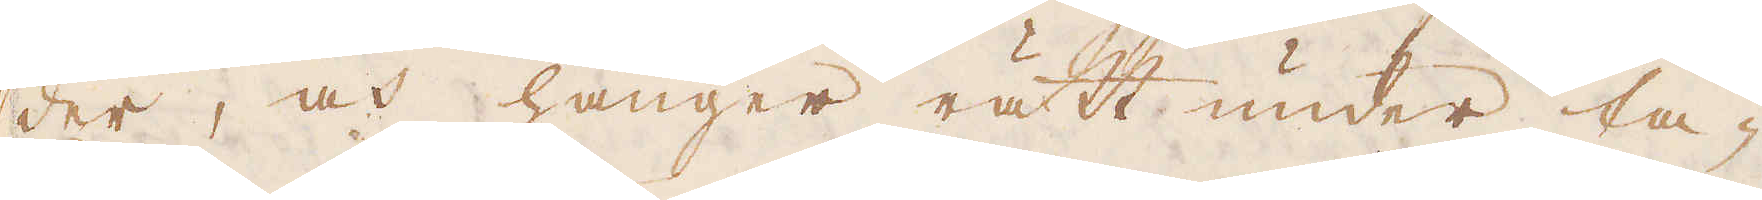der, och hänger rätt under ta-
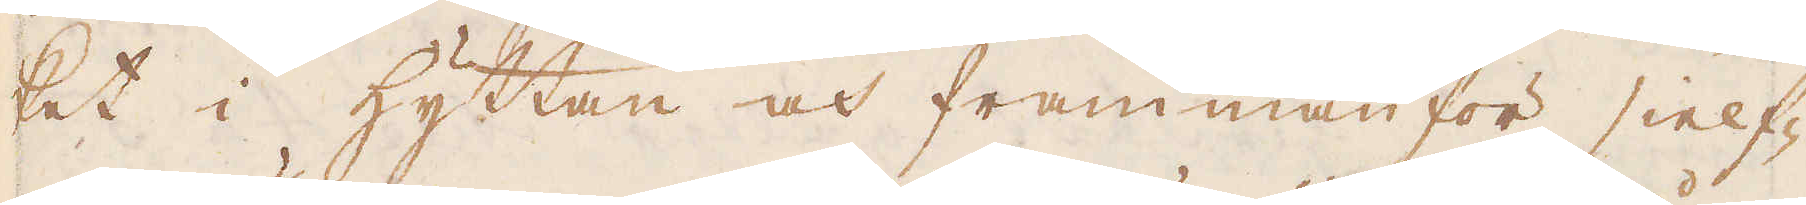ket i hyttan och frammanför sielf-
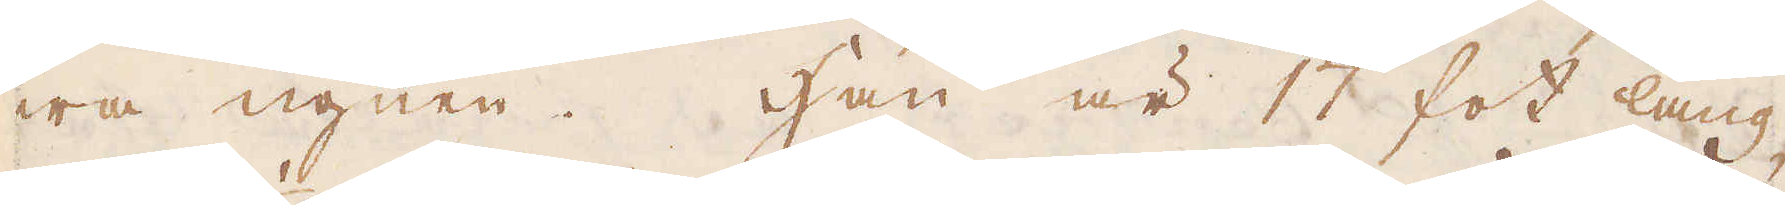wa ugnen. Han är 17 fot lång,
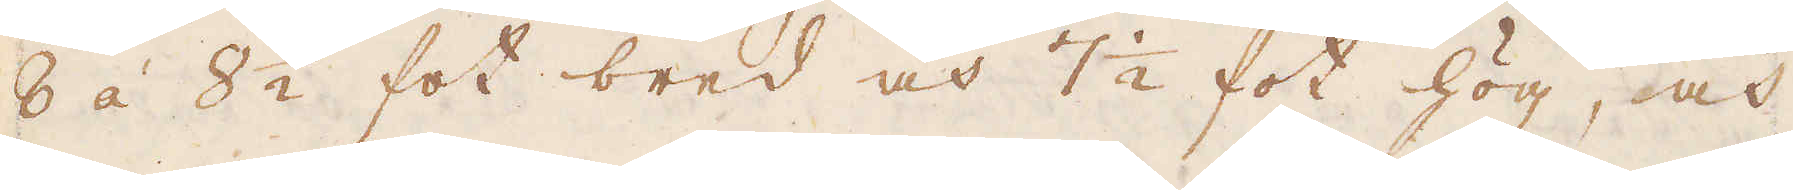8 á 8 1/2 fot bred och 7 1/2 fot hög, och
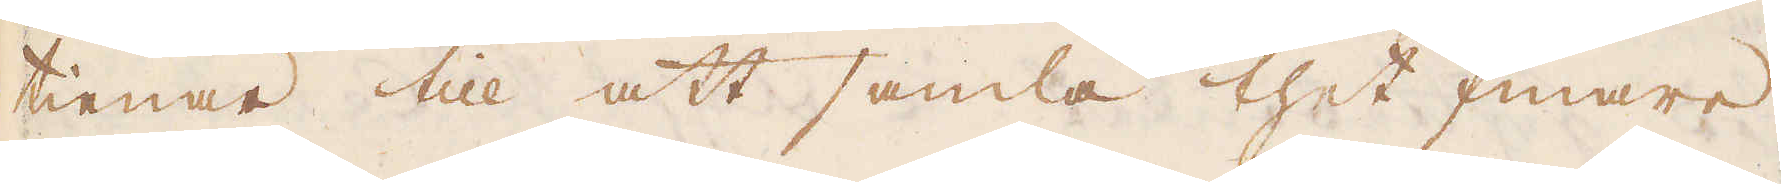tienar till att samla thet finare
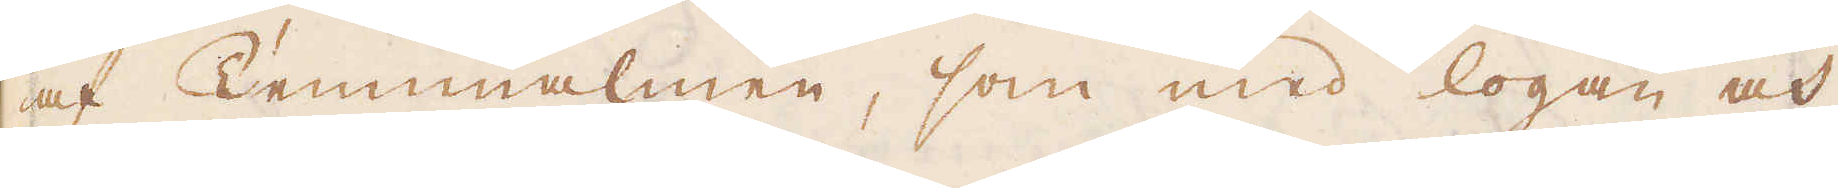af Tennmalmen, som med logan och
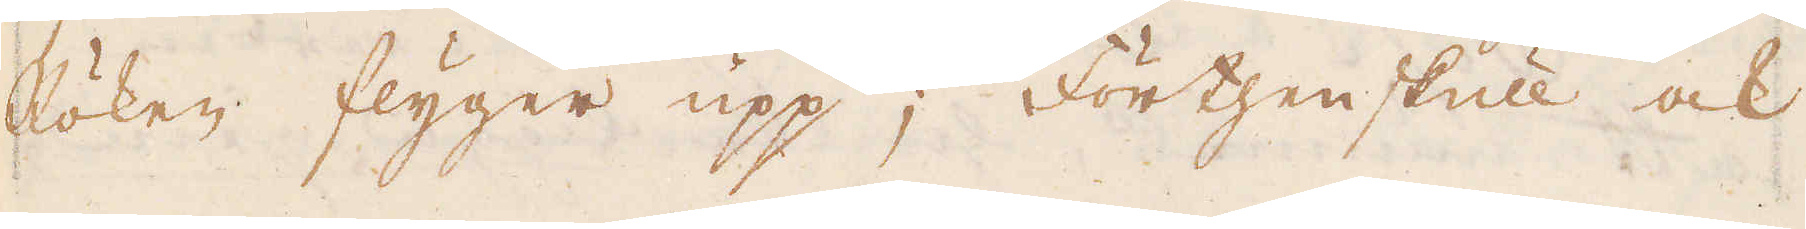Röken flyger upp; Förthenskull ock
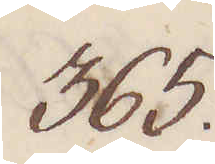365.
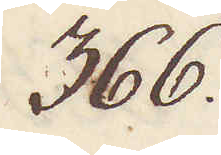366.
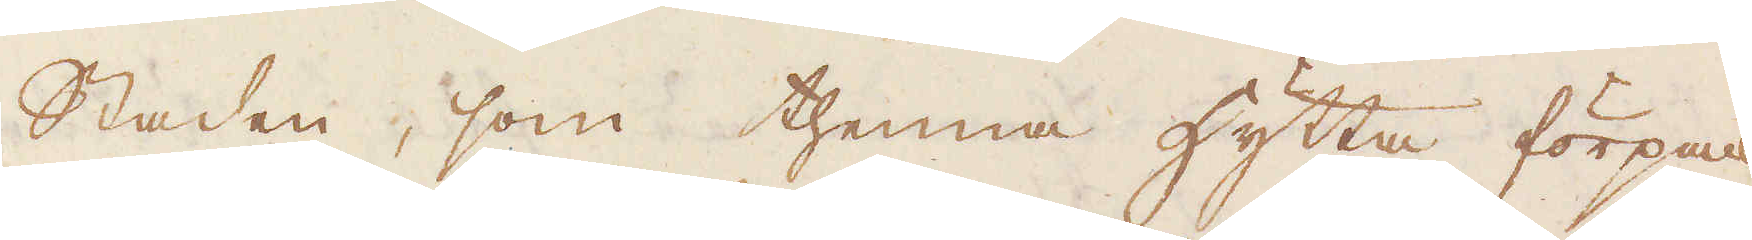staden, som thenna hytta förpack-
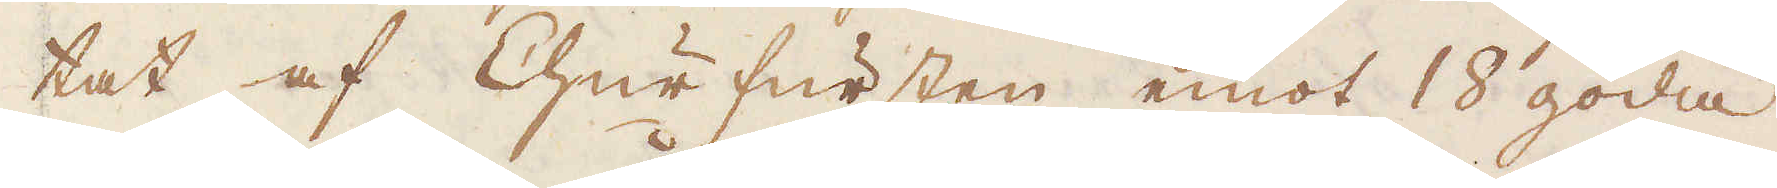tat af Churfursten emot 18 goda
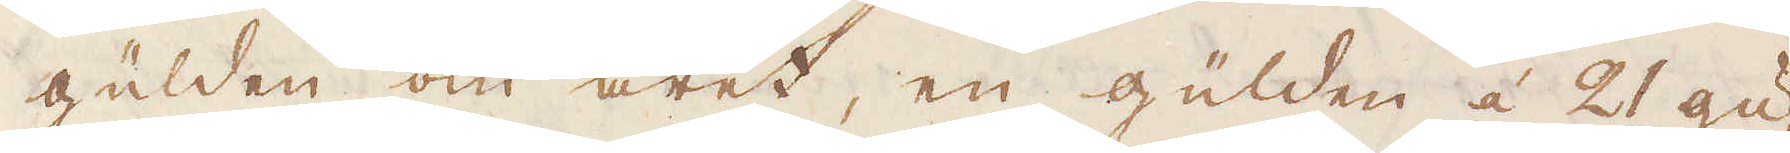gülden om året, en gülden á 21 gu-
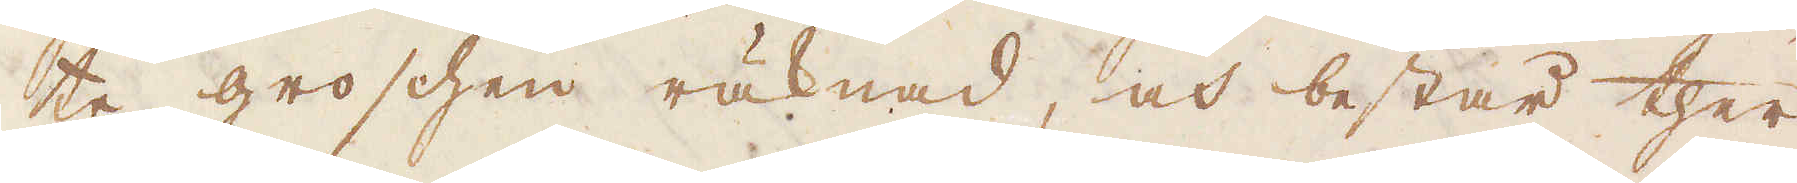te groschen räknad, och består ther-
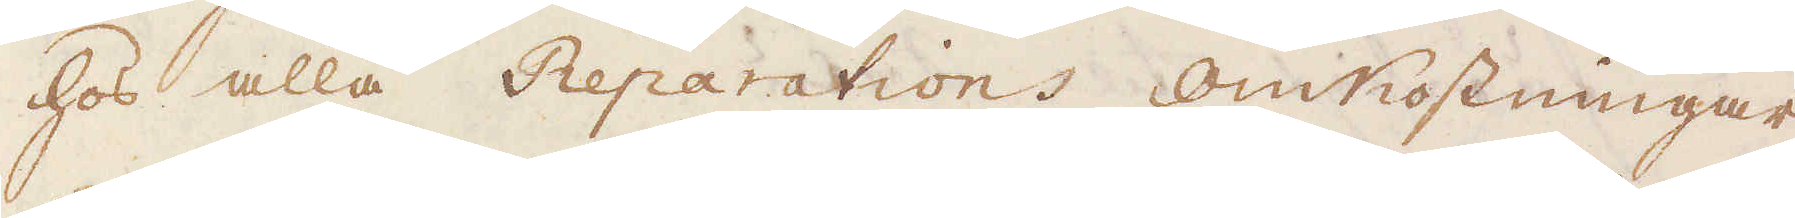hos alla Reparations omkostningar,
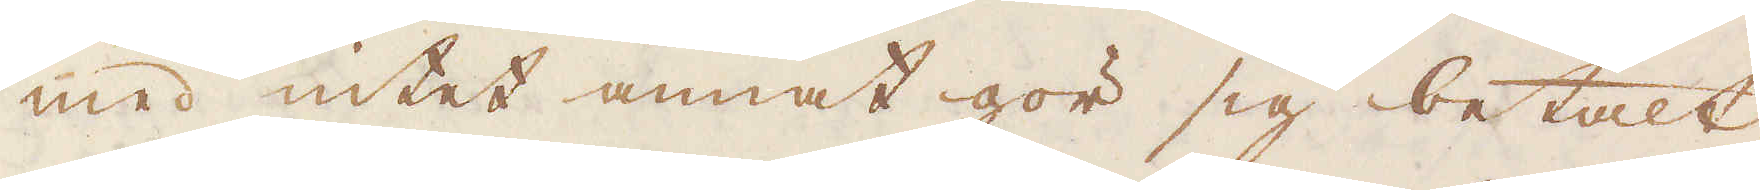med intet annat gör sig betalt,
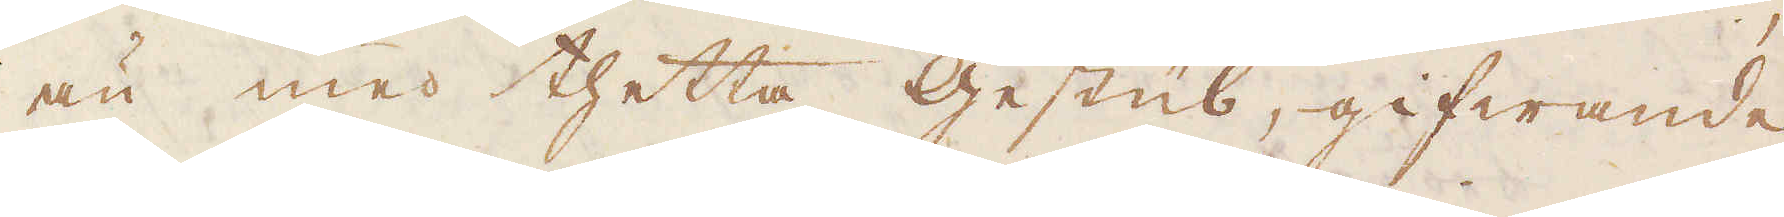än med thetta Gestüb, gifwande
